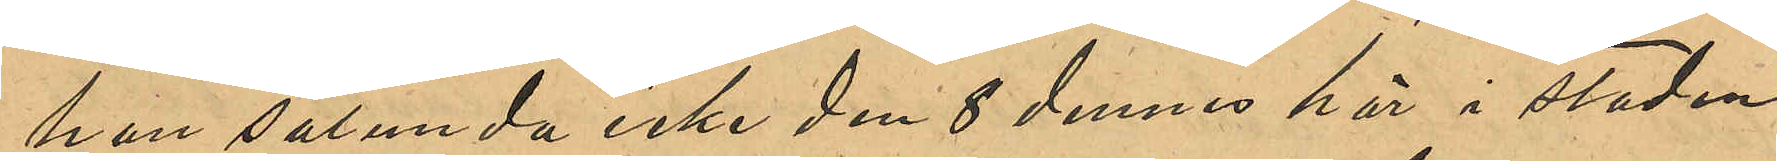han sålunda icke den 8 dennes här i staden
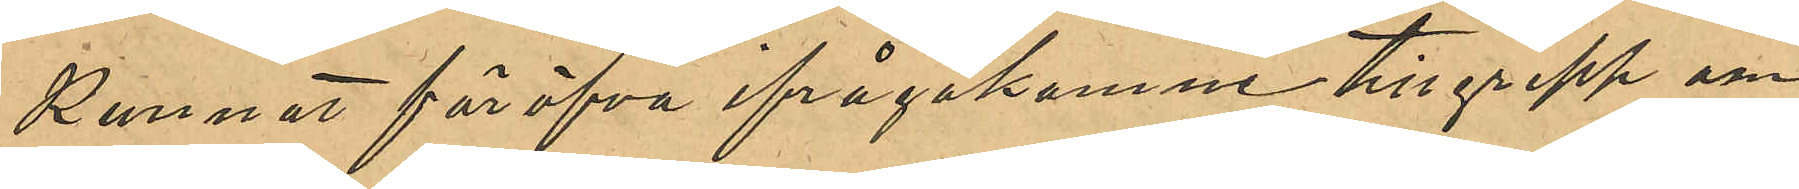kunnat föröfva ifrågakomne tillgrepp om
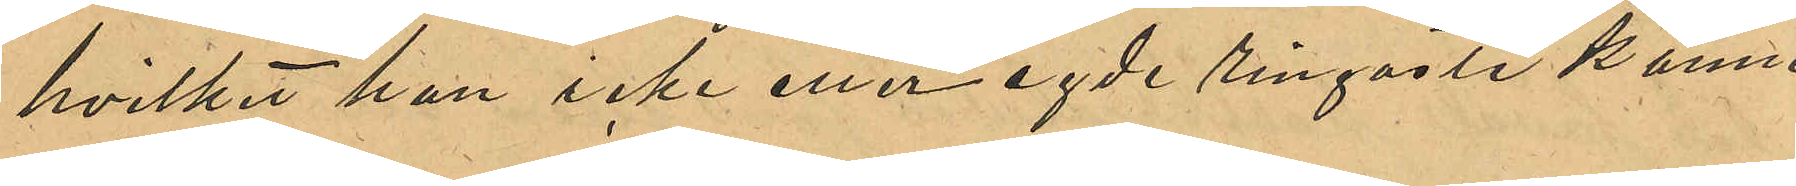hvilket han icke eller egde ringaste känne¬
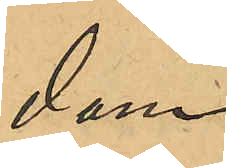dom.
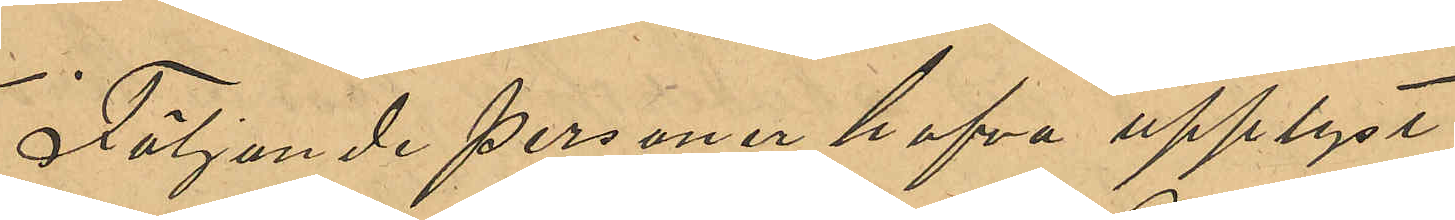Följande personer hafva uppgifvit:
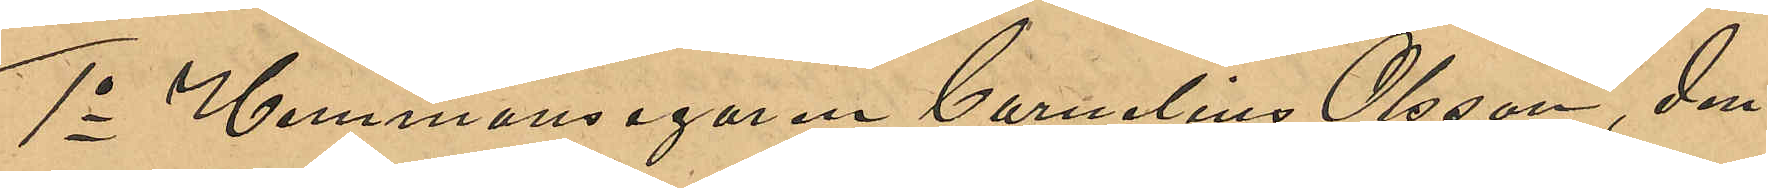1o Hemmansegaren Cornelius Olsson, den¬
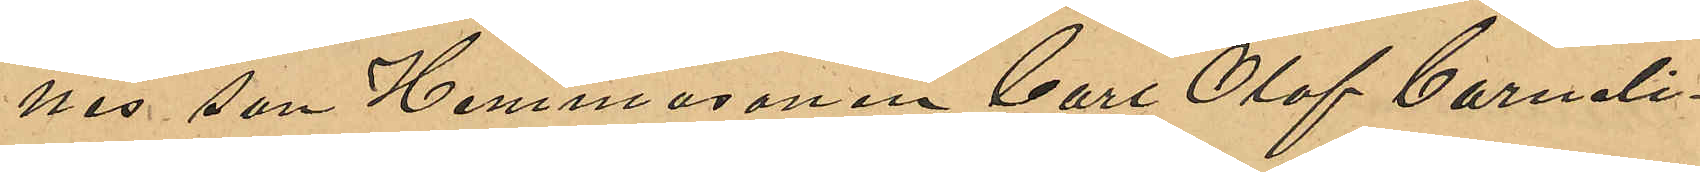nes son Hemmasonen Carl Olof Corneli¬
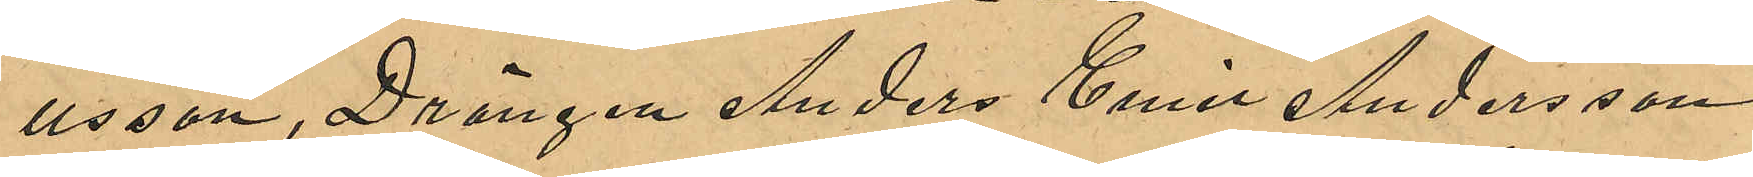usson, Drängen Anders Emil Andersson
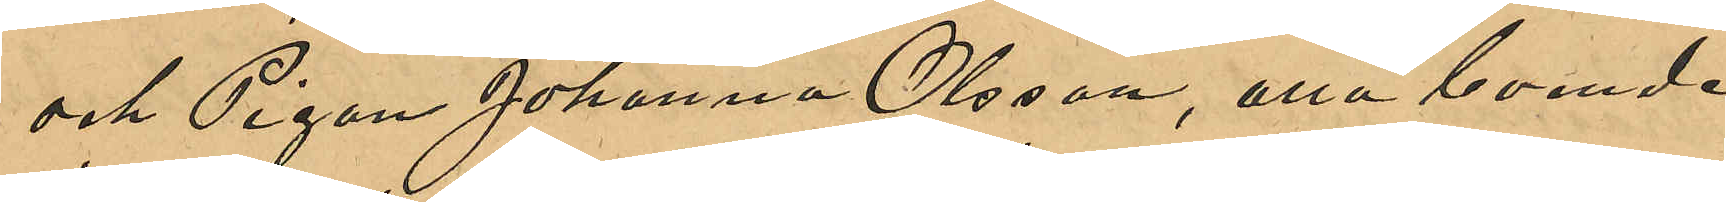och Pigan Johanna Olsson, ena boende 
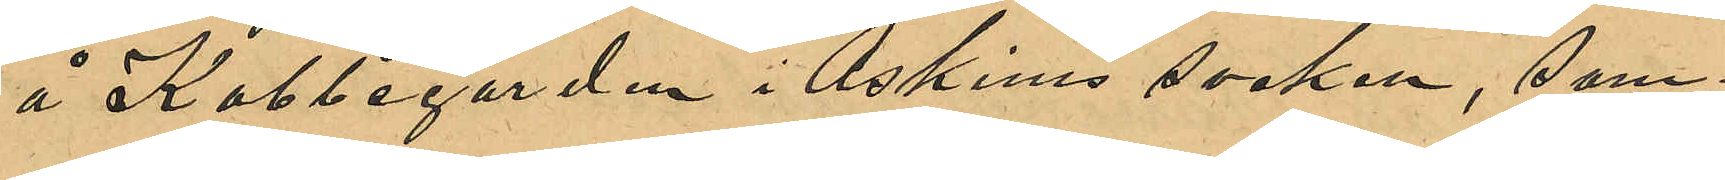å Kobbegården i Askims socken, sam¬
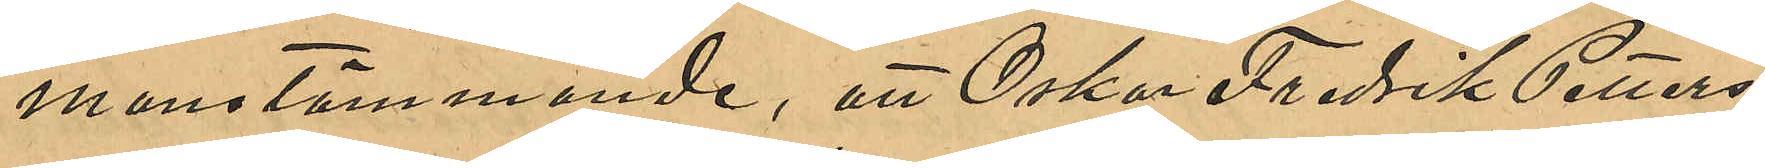manstämmande; att Oskar Fredrik Petters¬
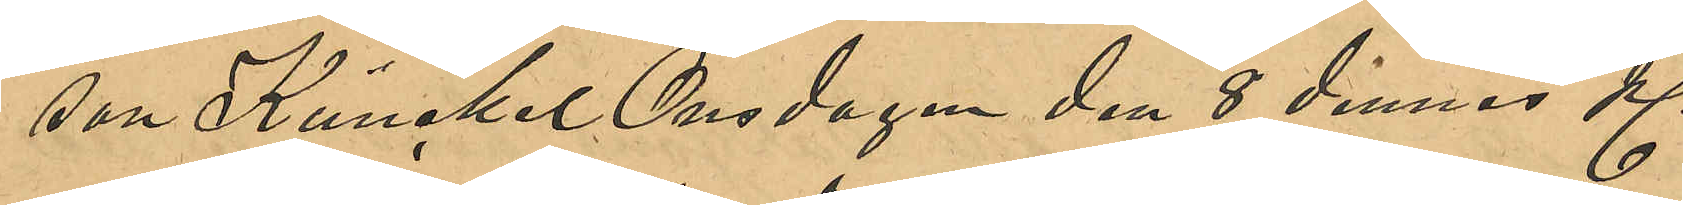son Kunckel Onsdagen den 8 dennes Kl.
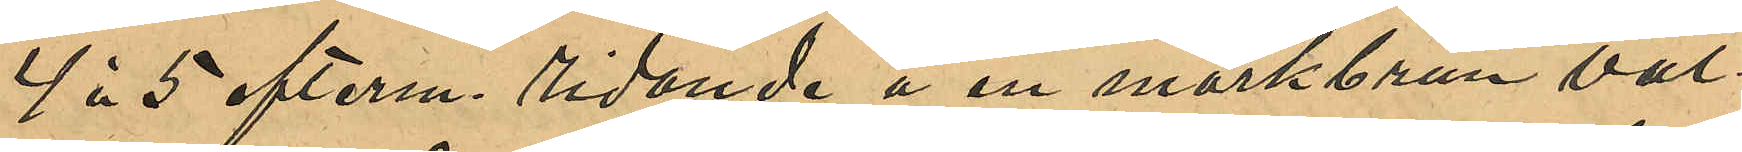4 à 5 efterm. ridande å en mörkbrun val¬
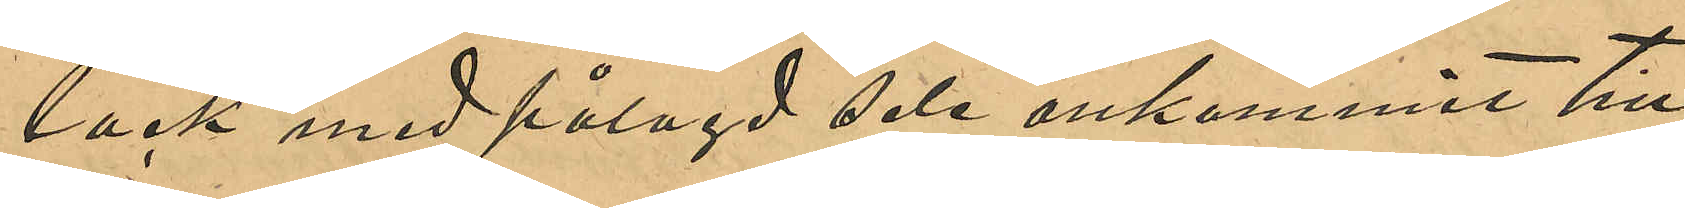lack med pålagd sele ankommit till
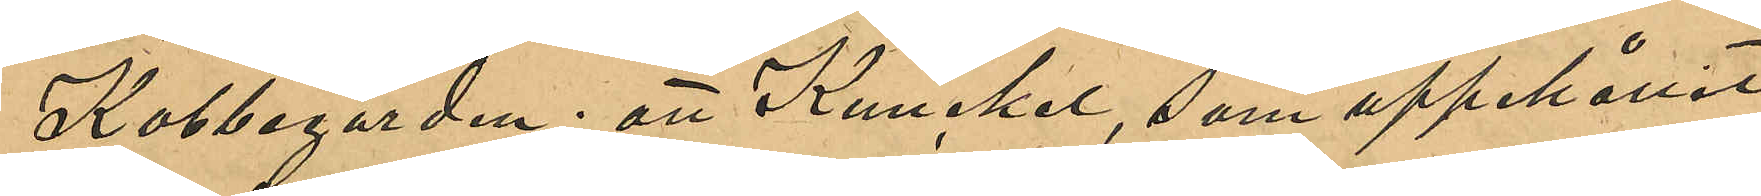Kobbegården; att Kunckel, som uppehållit
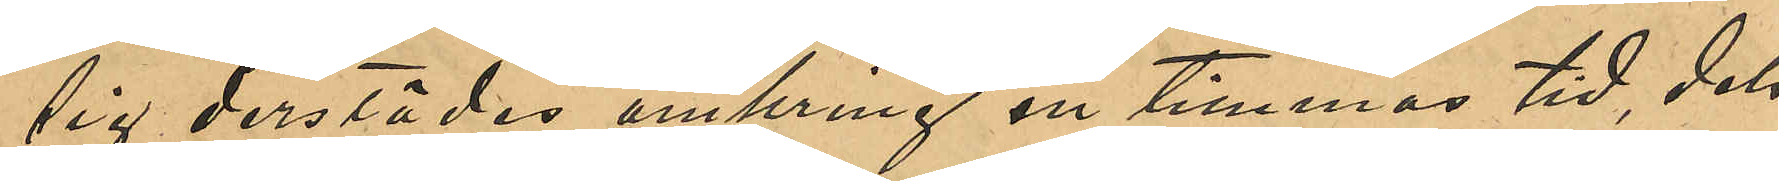sig derstädes omkring en timmes tid, dels
